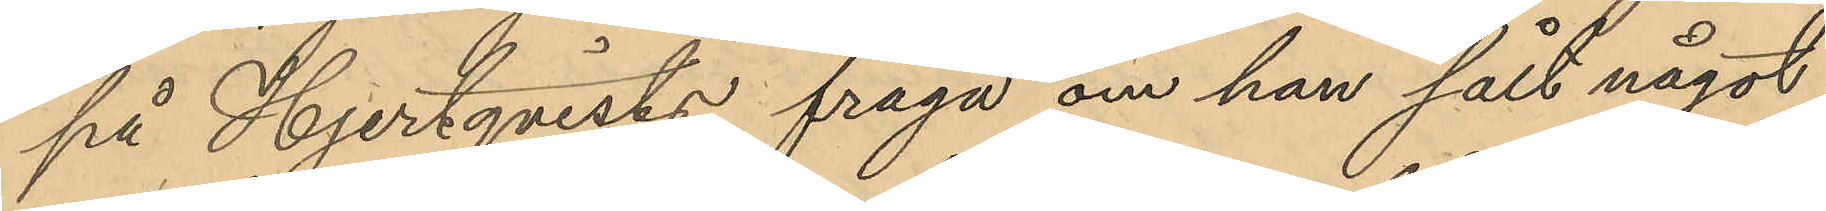på Hjertqvists fråga om han sålt något
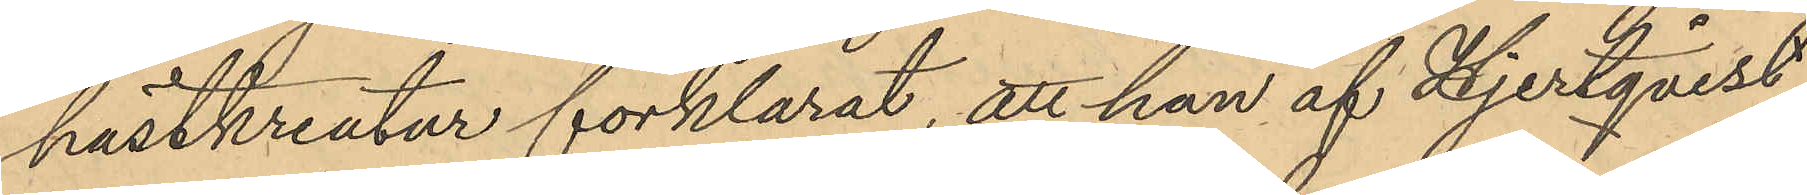hästkreatur förklarat, att han af Hjertqvist
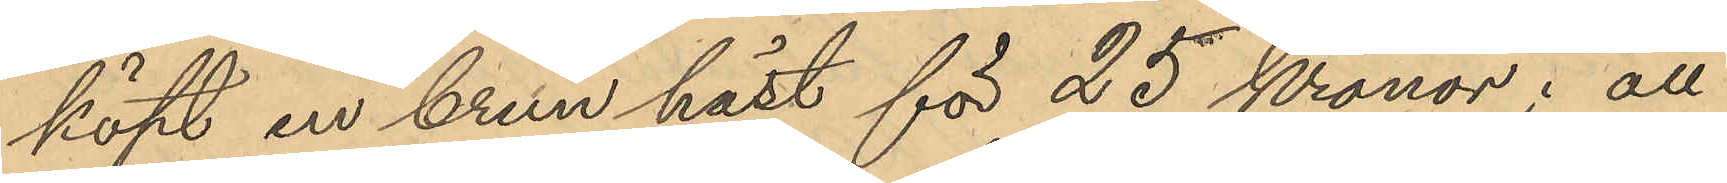köpt en brun häst för 25 kronor; att
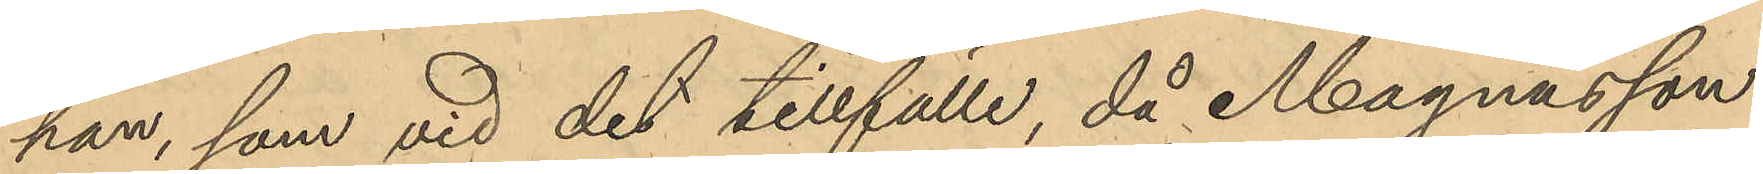han, som vid det tillfälle, då Magnusson
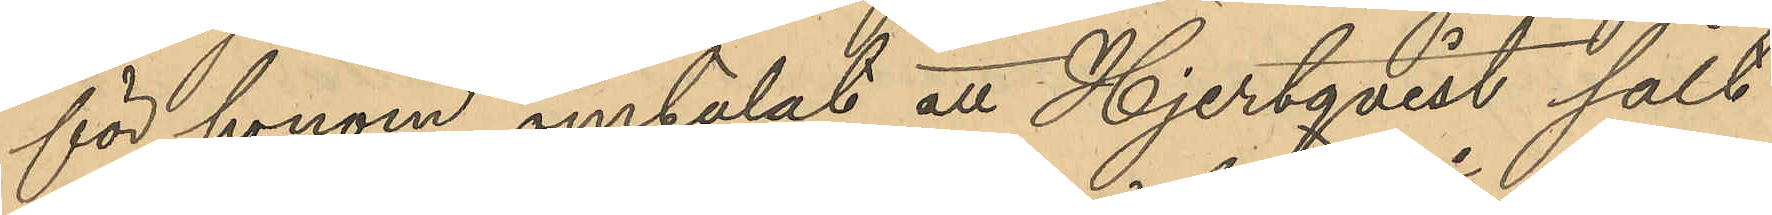för honom omtalat att Hjertqvist sålt
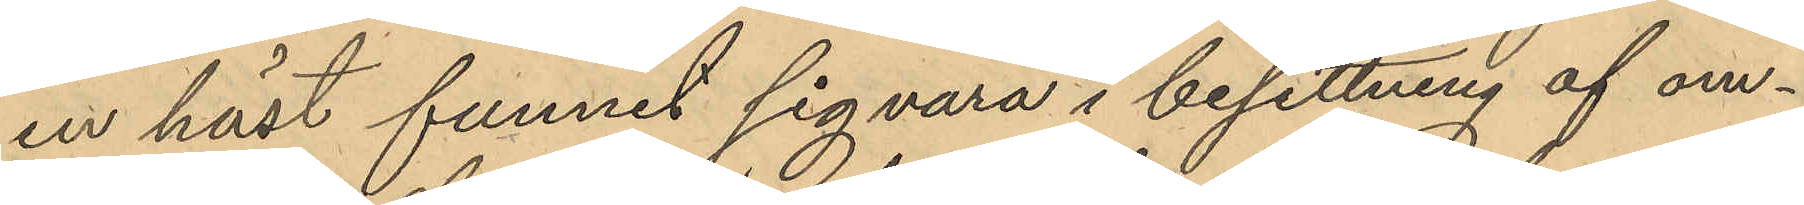en häst funnit sig vara i besittning af om¬
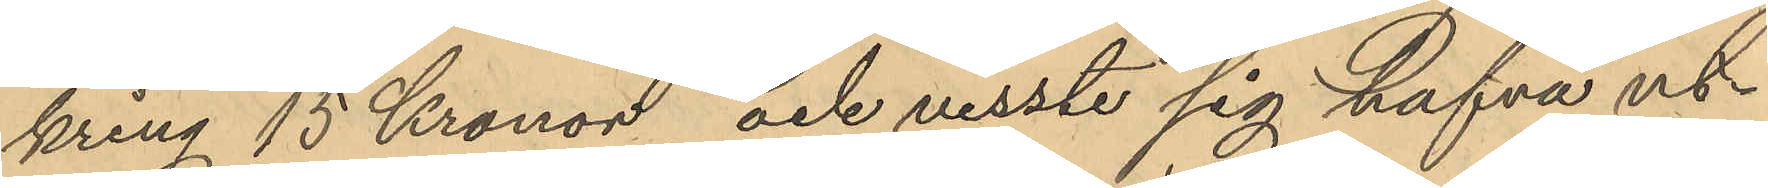kring 15 Kronor och visste sig hafva ut¬
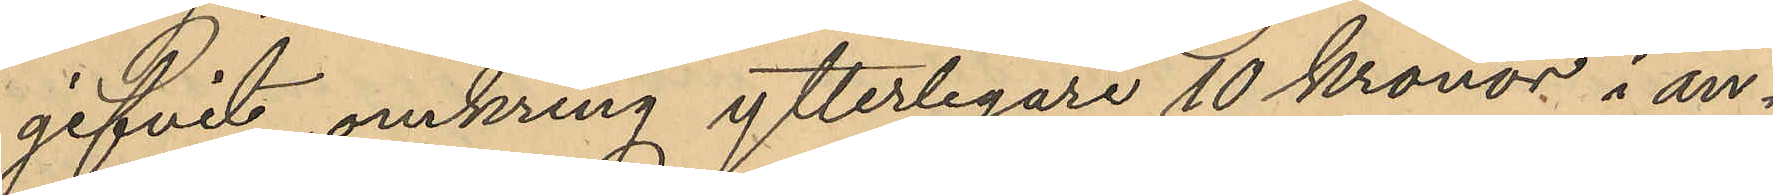gifvit omkring ytterligare 10 Kronor i an¬
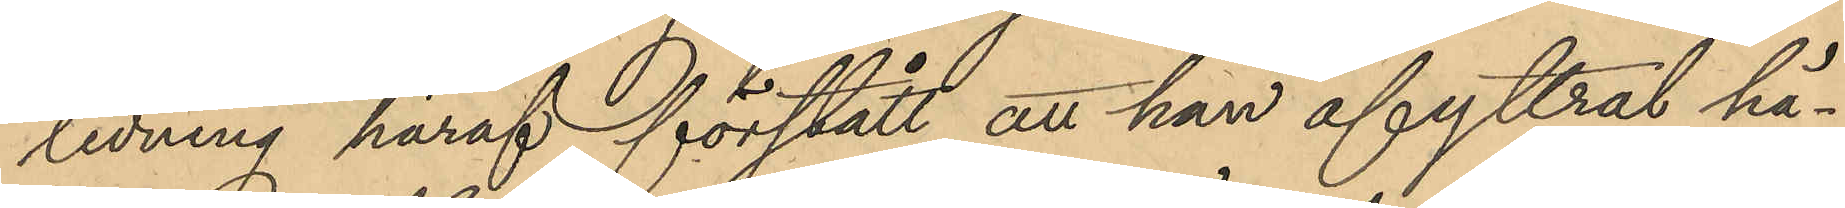ledning häraf förstått att han afyttrat hä¬
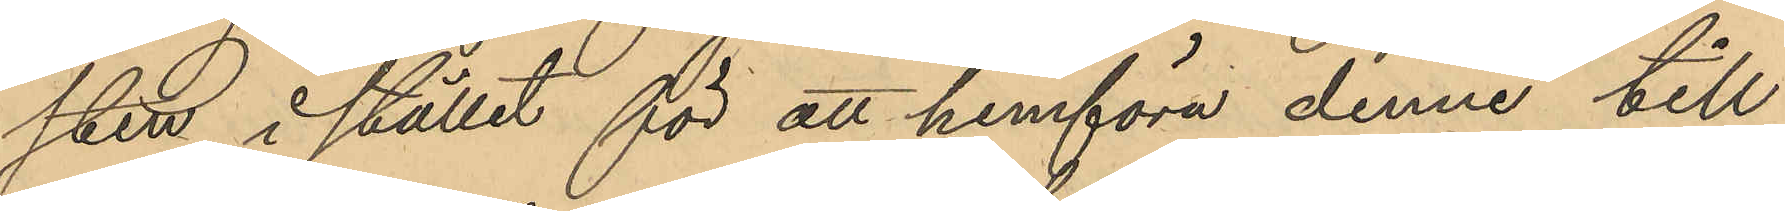sten i stället för att hemföra denne till
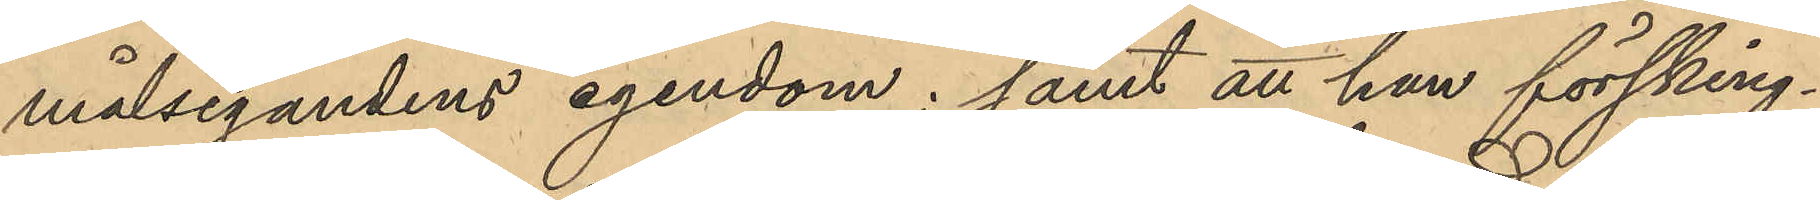målsegandens egendom; samt att han försking¬
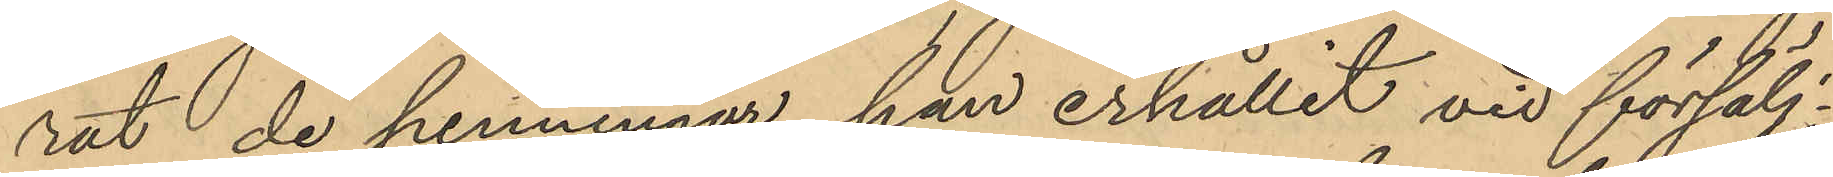rat de penningar han erhållit vid försälj¬
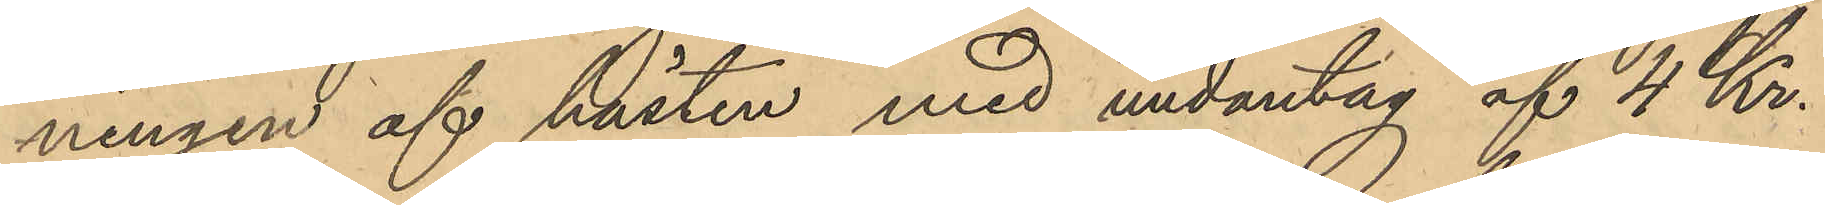ningen af hästen med undantag af 4 Kr.
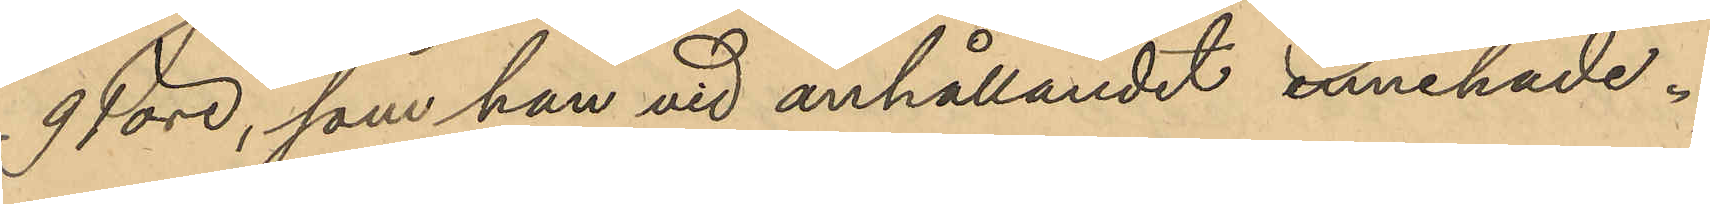91 öre, som han vid anhållandet innehade.
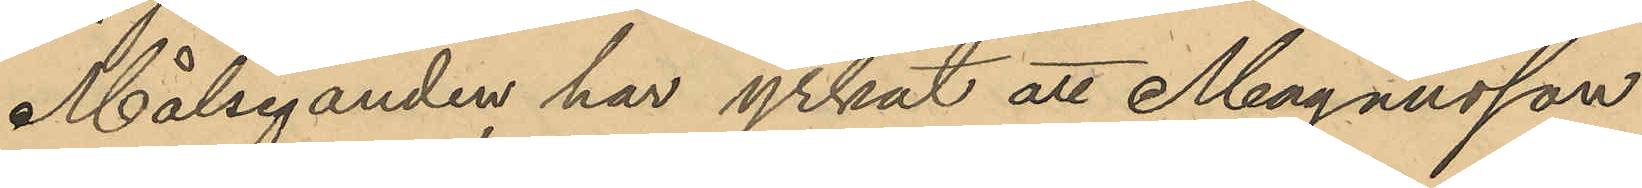Målseganden har yrkat att Magnusson
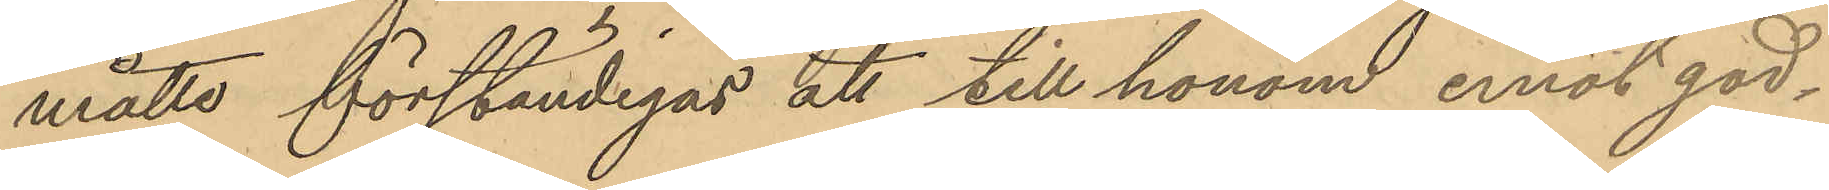måtte förständigas att till honom, emot god¬
